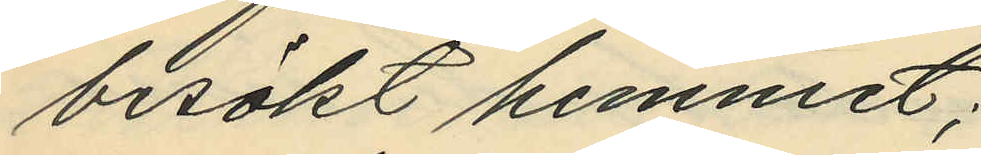besökt hemmet;
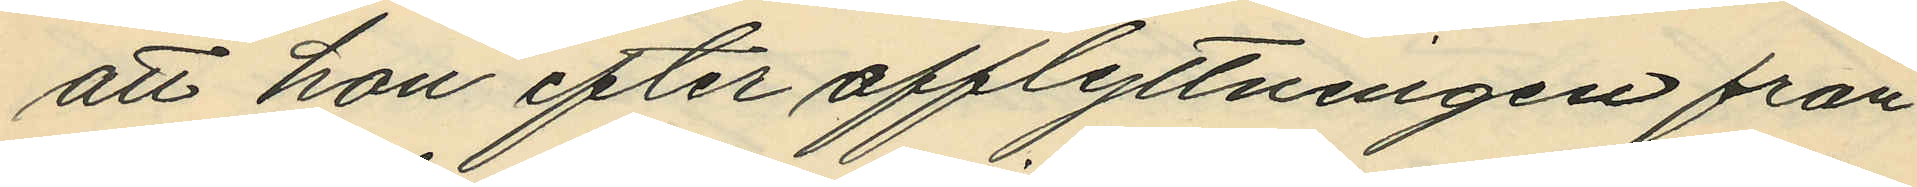att hon efter afflyttningen från
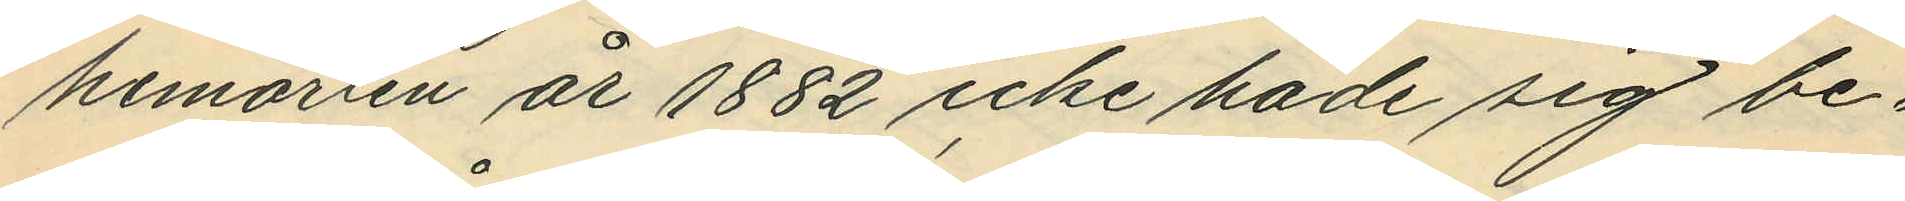hemorten år 1882 icke hade sig be¬
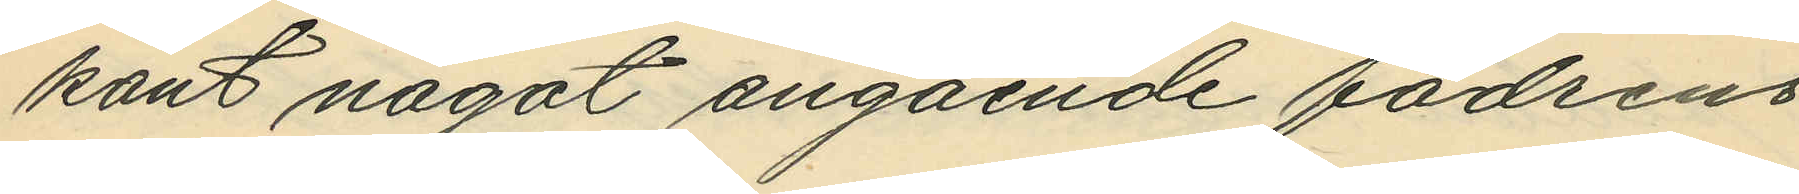kant något angående fadrens
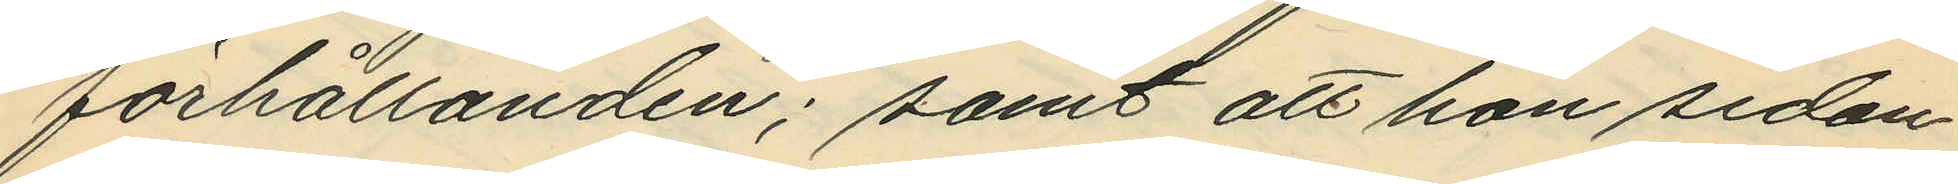förhållanden; samt att hon sedan
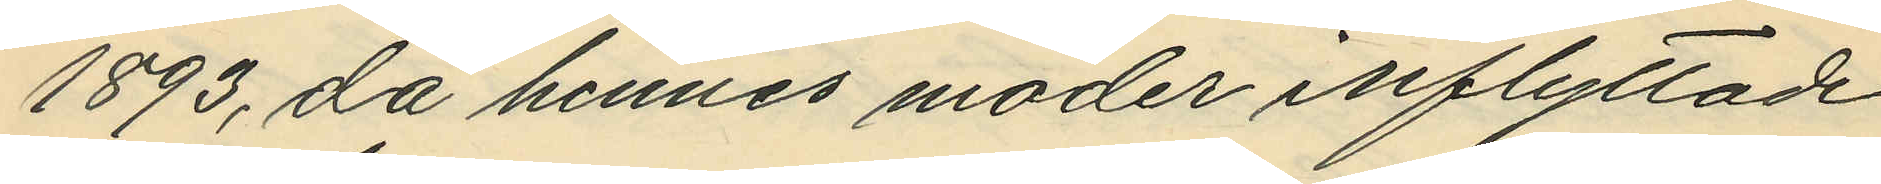1893, då hennes moder inflyttade
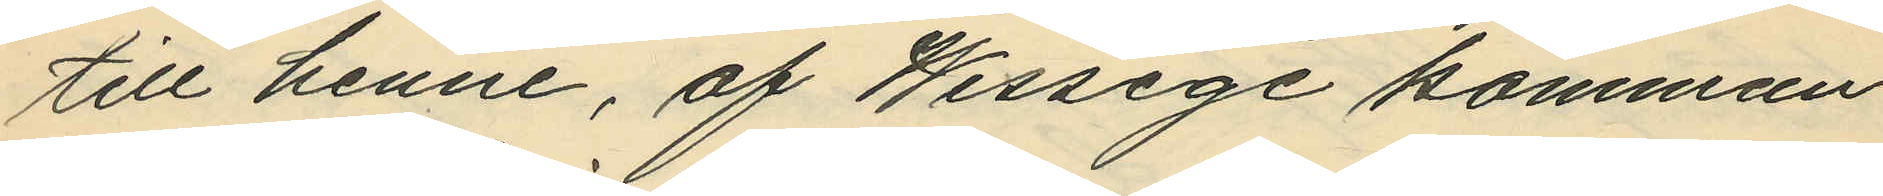till henne, af Wessige kommun
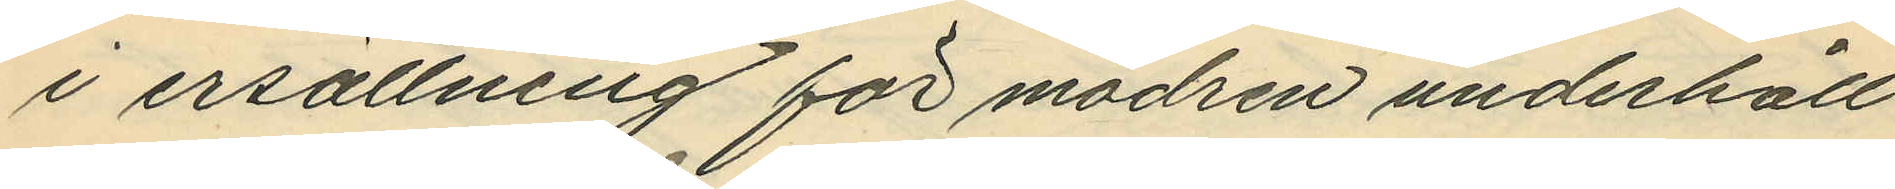i ersättning för modren underhåll
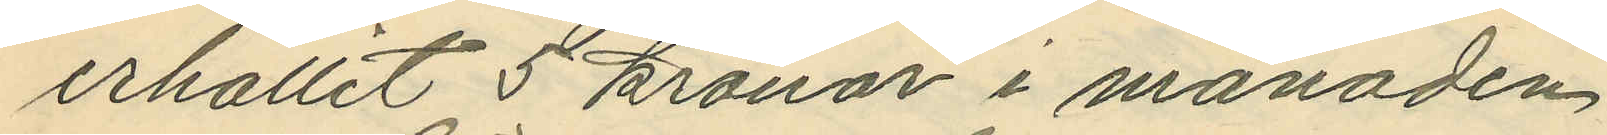erhållit 5 kronor i månaden.
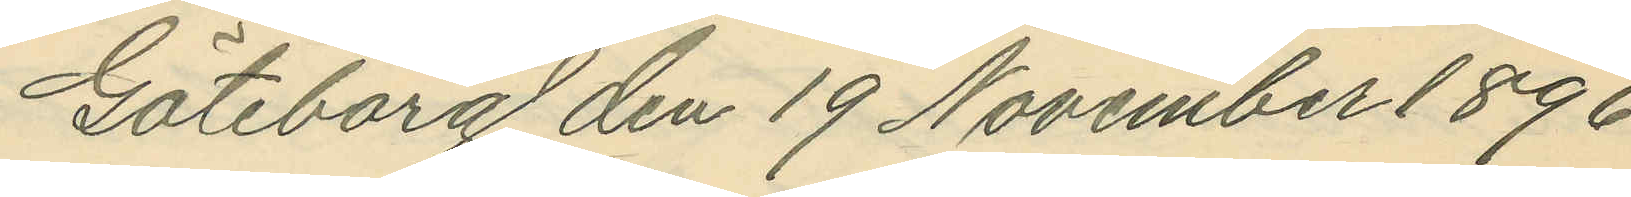Göteborg den 19 November 1896.
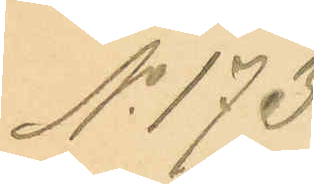No 173.
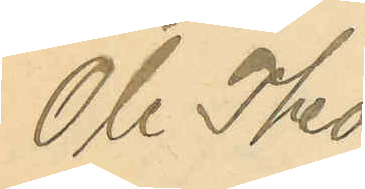Ole Theo¬
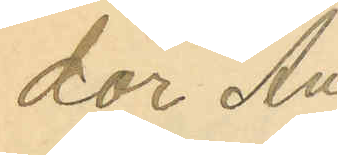dor An¬
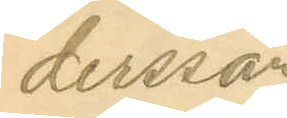dersson.
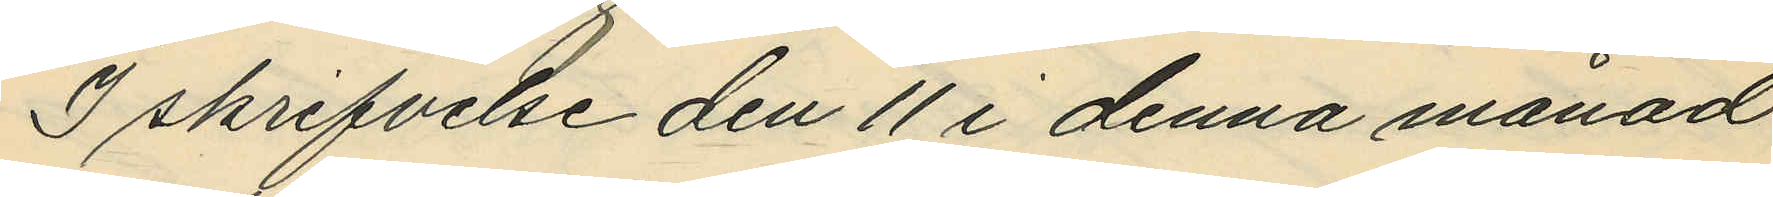I skrifvelse den 11 i denna månad
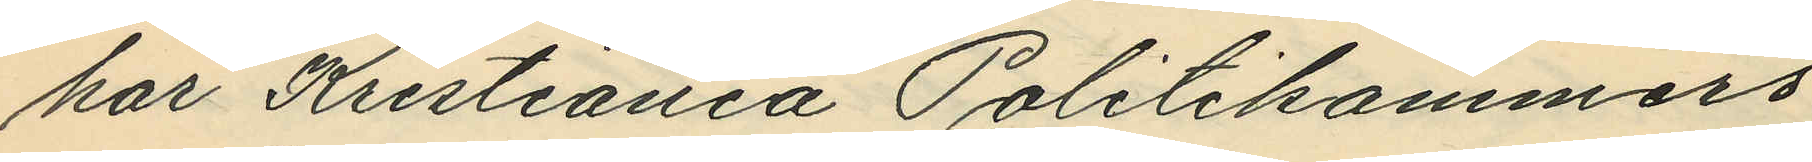har Kristiania Politikammers
